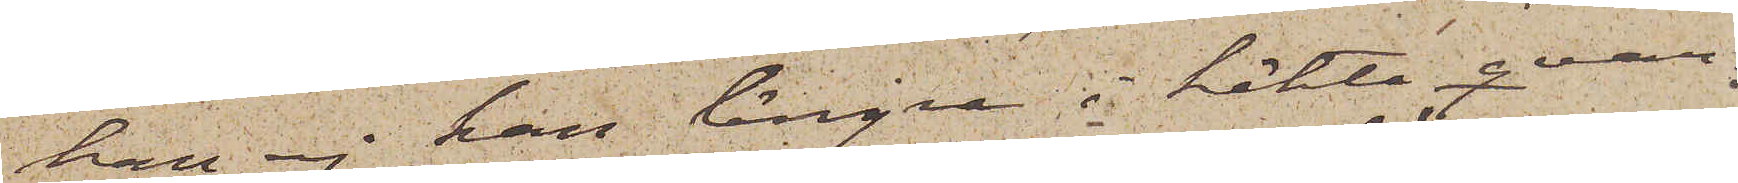han ej kan längre i häkte qvar¬
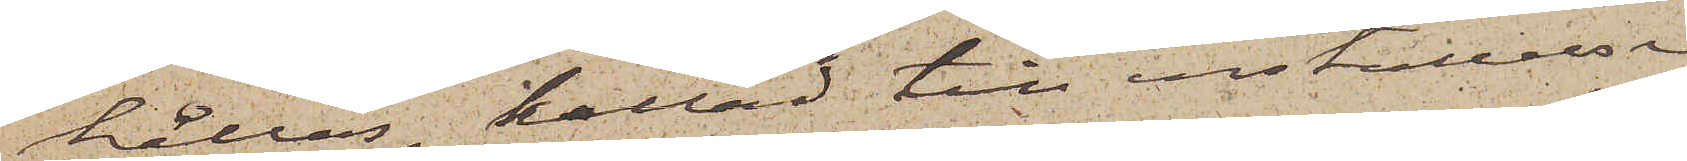hållas, kallad till inställelse
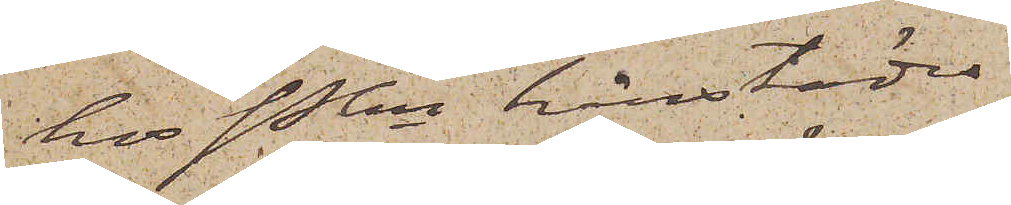hos Pkn härstädes
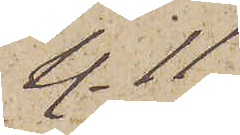kl. 11
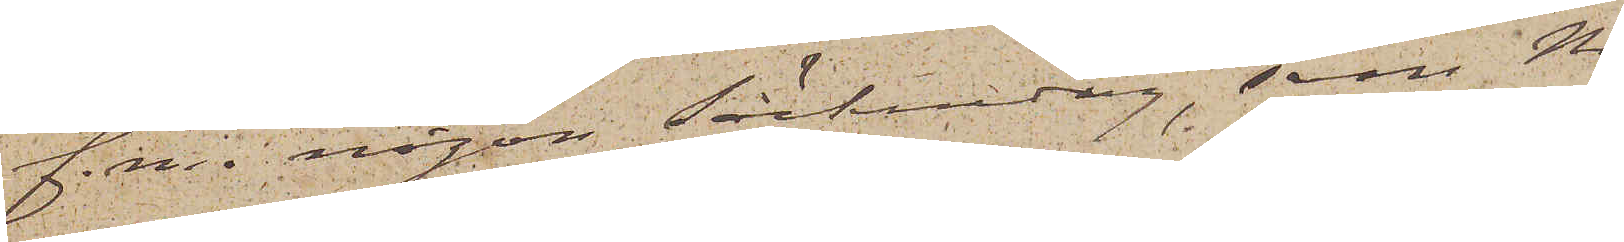f.m. någon söckendag, som Ni
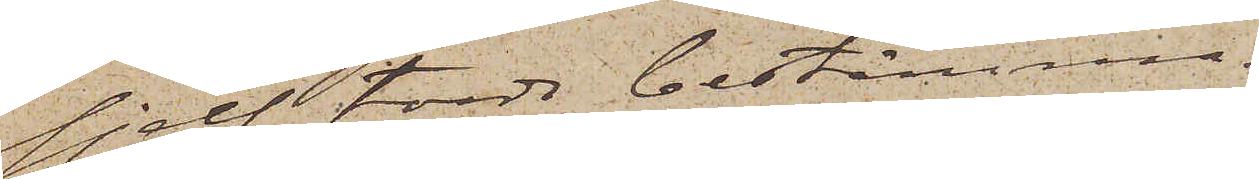sjelf torde bestämma.
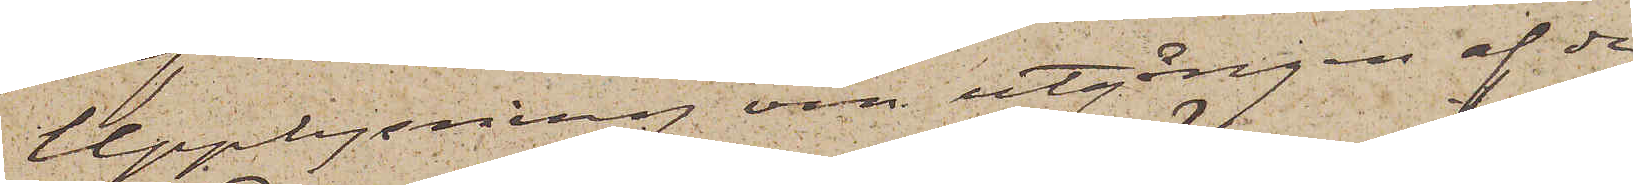Upplysning om utgången af de
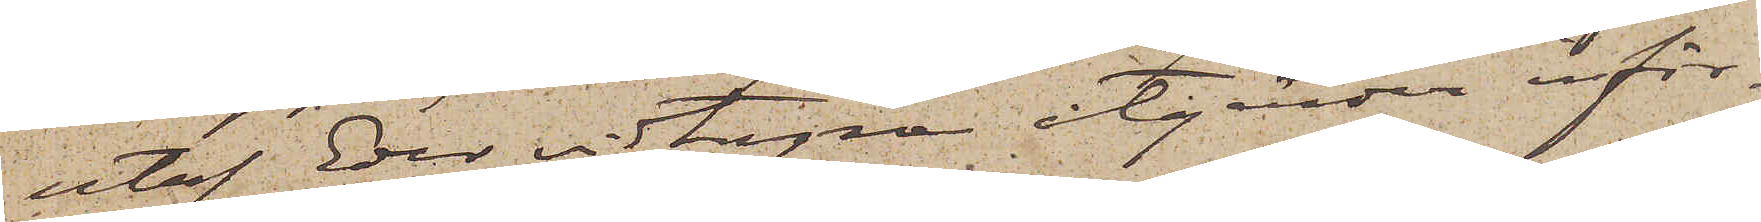utaf Eder vidtagna åtgärder inför¬
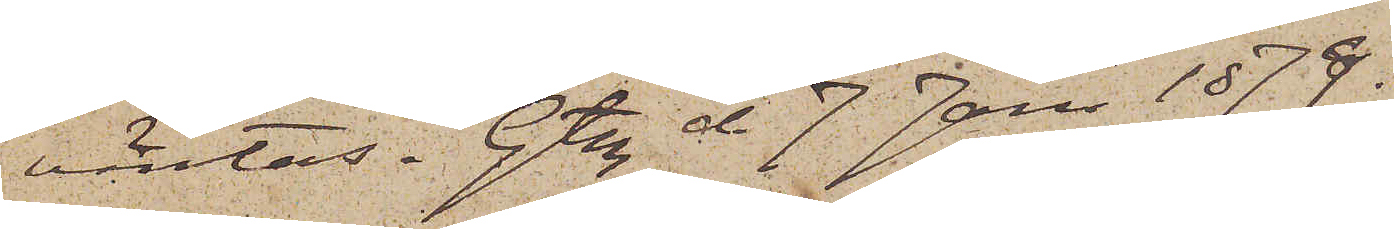väntas. Gtbg d. 7 Jan 1879.
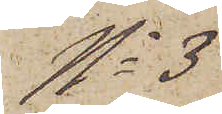No 3
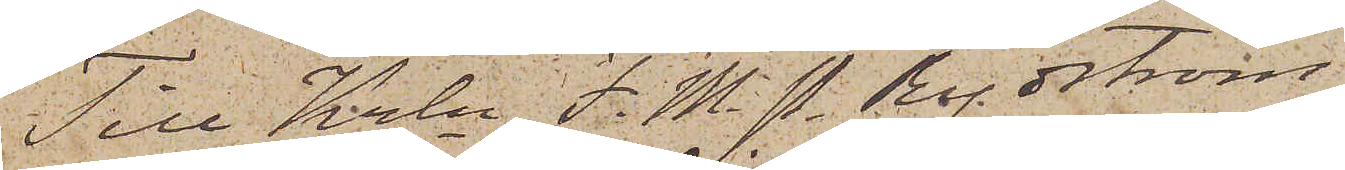Till Krln F. M. P. Rydström
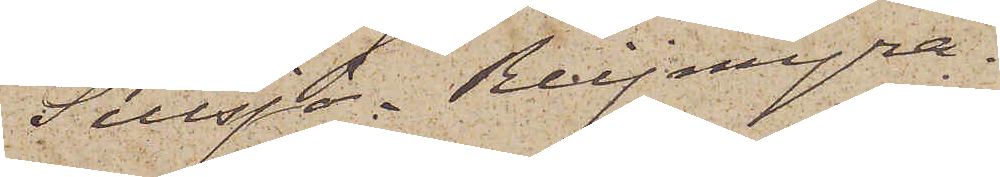Sillsjö.  Reijmyra.
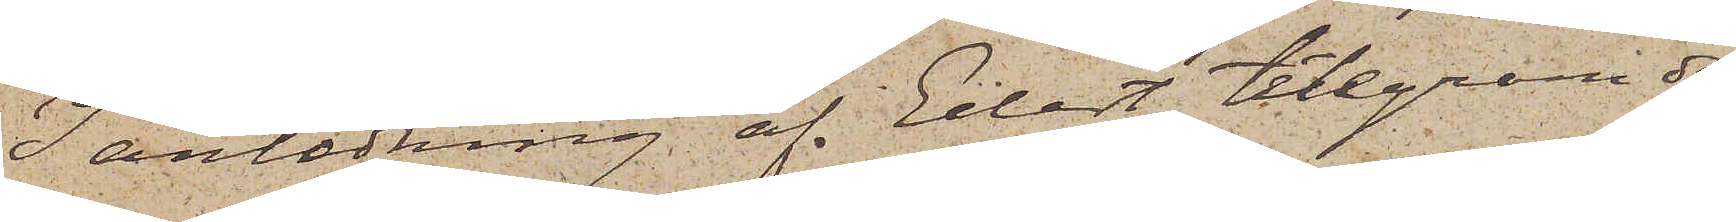I anledning af Edert telegram den
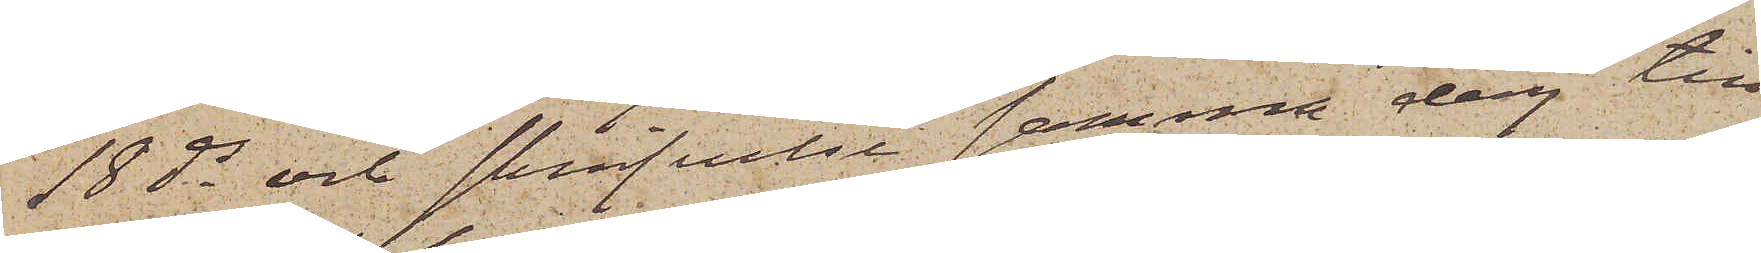18 ds och skrifvelse samma dag till
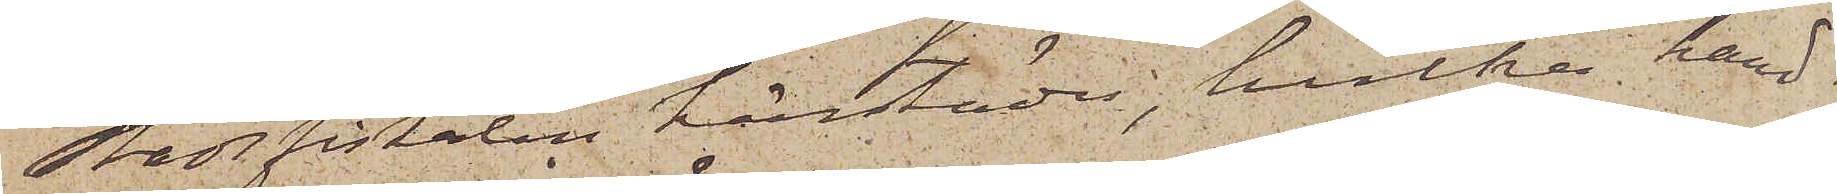Stadsfiskalen härstädes, hvilka hand¬
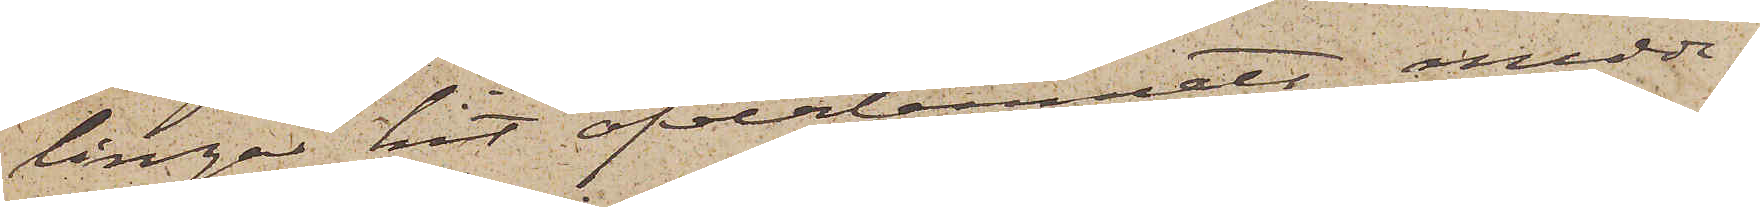lingar hit öfverlemnats, medde¬
